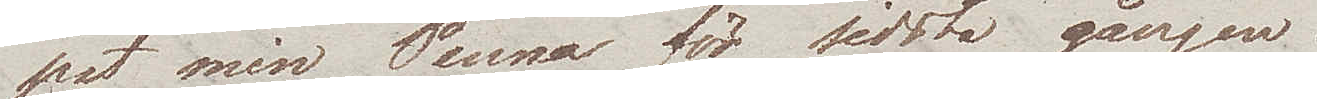pat min Penna för sidsta gången.
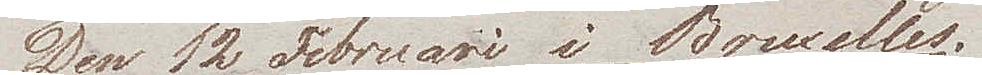Den 12 Februari i Bruxelles
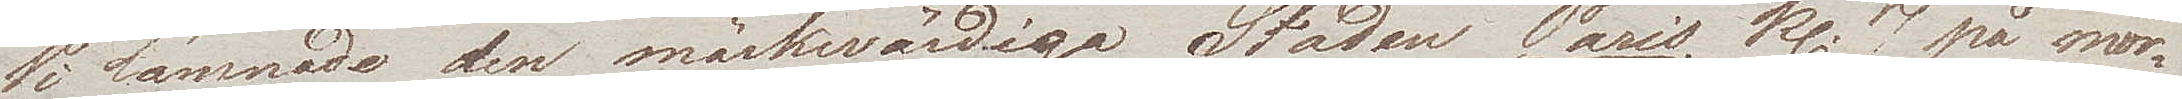Wi lämnade den märkwärdiga Staden Paris kl. 7 på mor¬
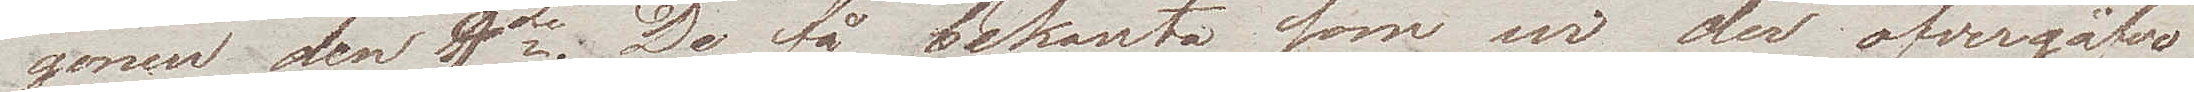gonen den 9de. De få bekanta som wi der öfvergåfvo
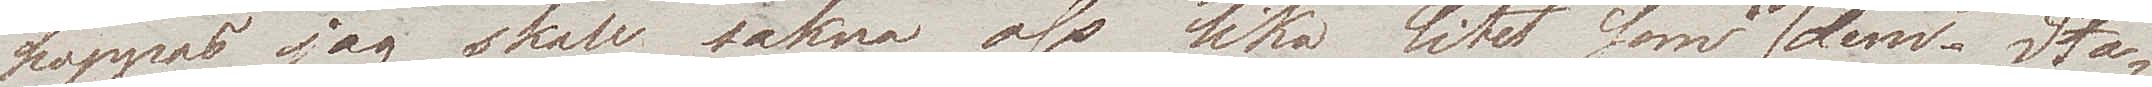hoppas jag skall sakna oss lika litet som vi dem. Sta¬
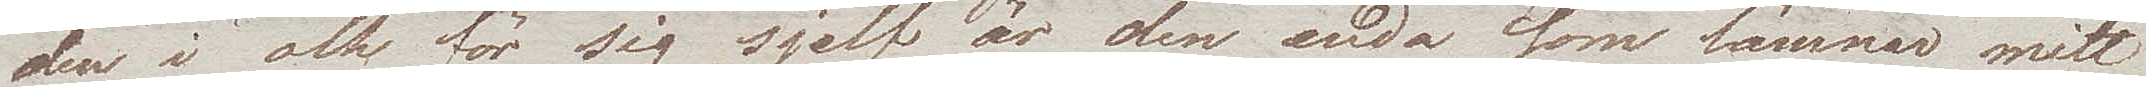den i och för sig sjelf är den enda som lämnar mitt
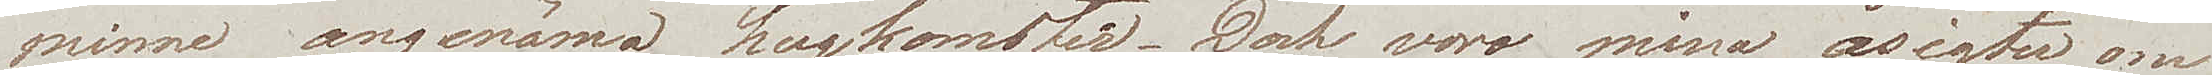minne angenäma hugkomster. Dock voro mina åsigter om
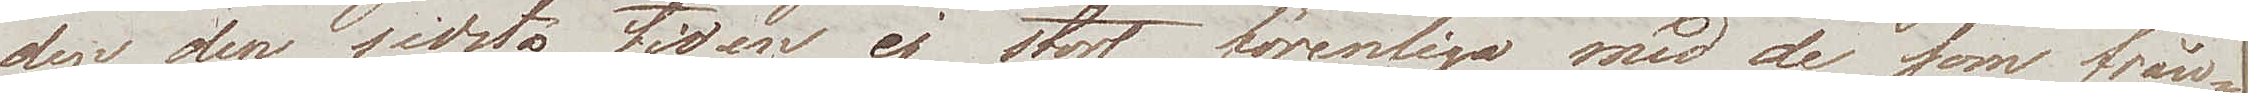den, den sidsta tiden ej stort förenliga med de som från¬
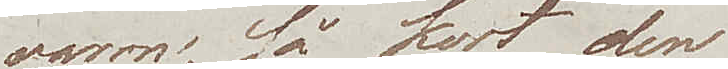varon, så kort den
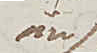än
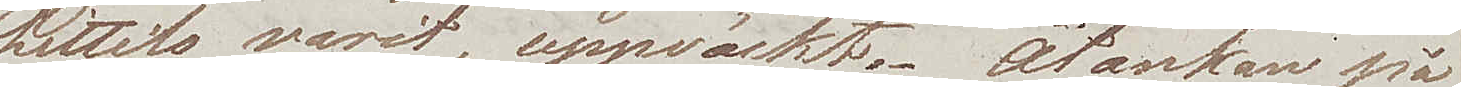hittills varit, uppväckt. Åtanken på
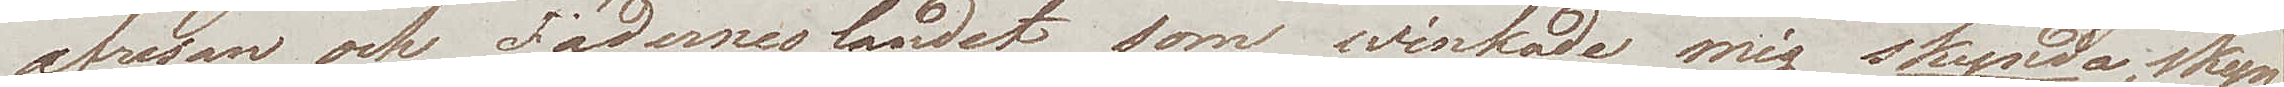afresan och Fäderneslandet som winkade mig skynda, skyn¬
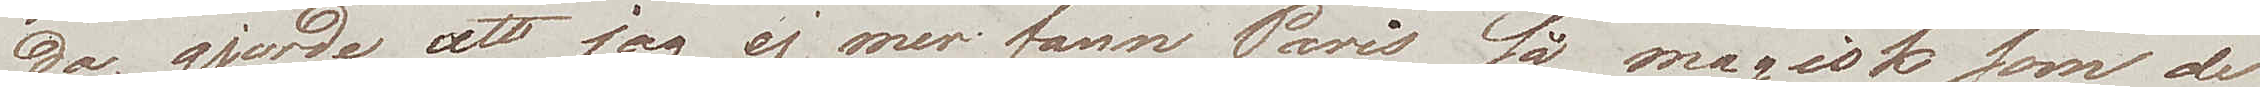da, gjorde att jag ej mer fann Paris så magisk som de
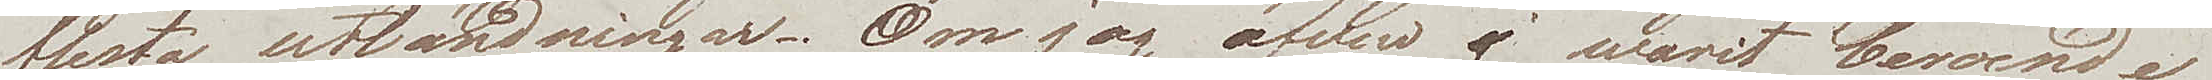flesta utländningar. Om jag äfven ej warit beroende 
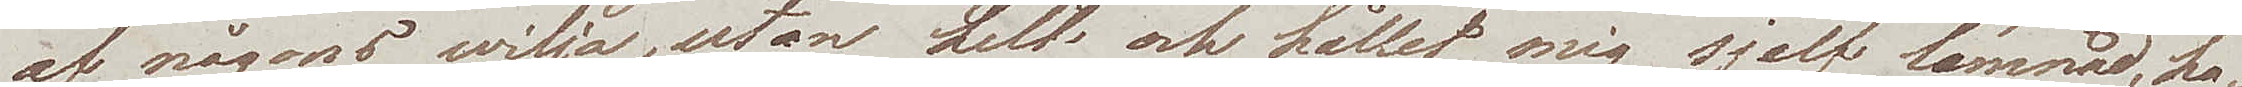af någons wilja, utan helt och hållet mig sjelf lämnad, ha¬
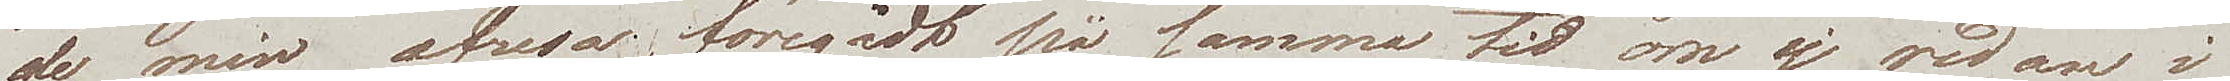de min afresa föregådt på samma tid om ej redan i
